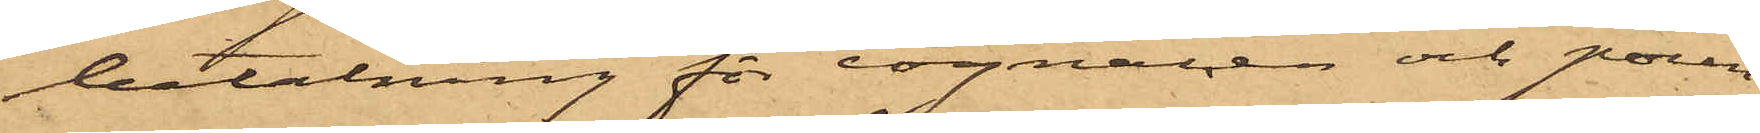betalning för cognacen och pun¬
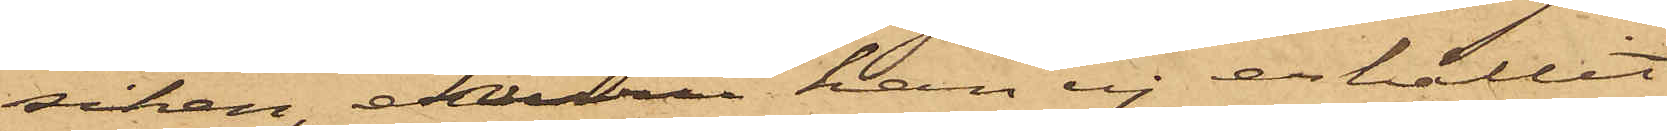schen,  ehuru han ej erhållit
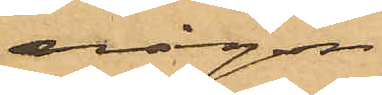någon.
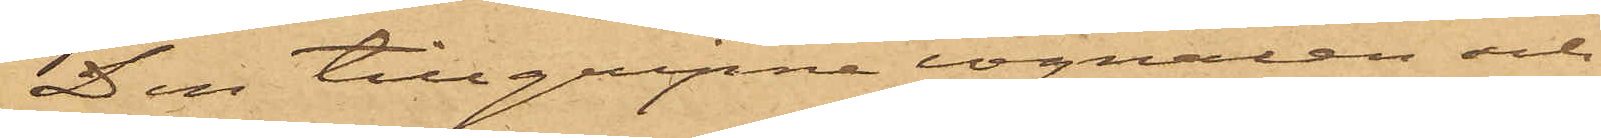Den tillgripne cognacen och
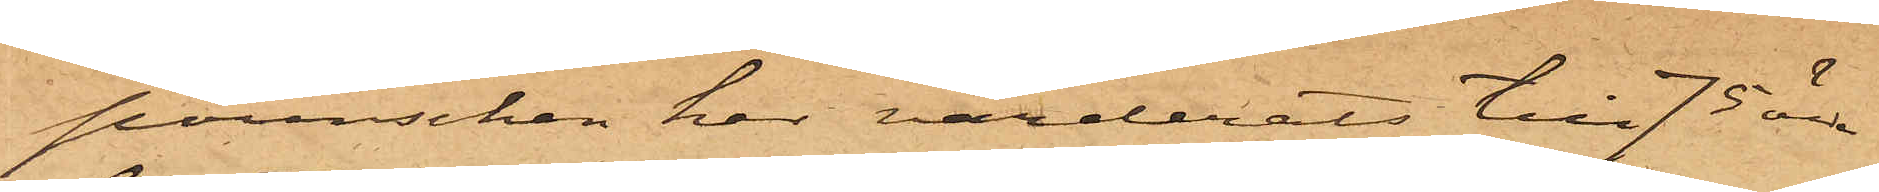punschen har värderats till 75 öre
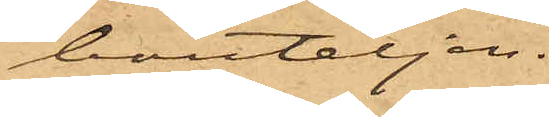bouteljen.
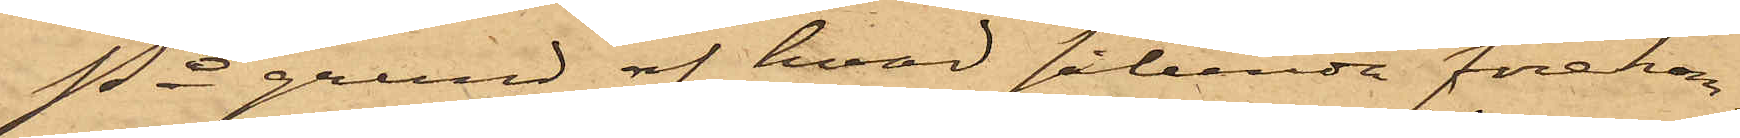På grund af hvad sålunda förekom¬
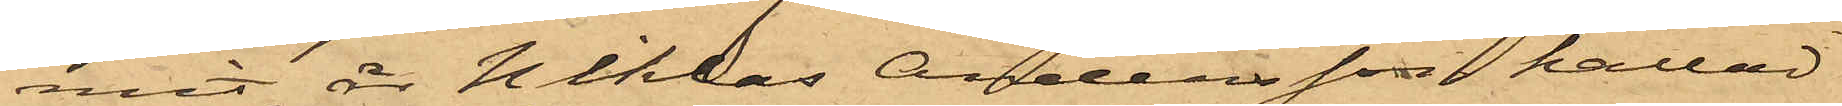mit, är Niklas Andersson kallad
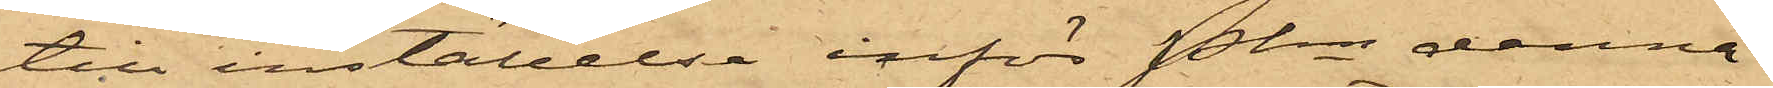till inställelse inför Pkn denna
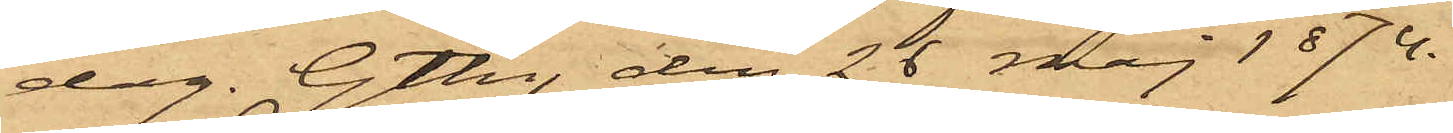dag. Gtbg, den 26 maj 1874.
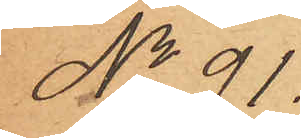No 91.
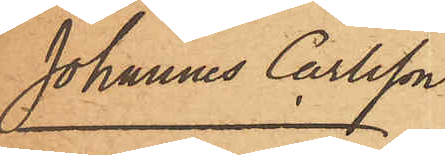Johannes Carlsson
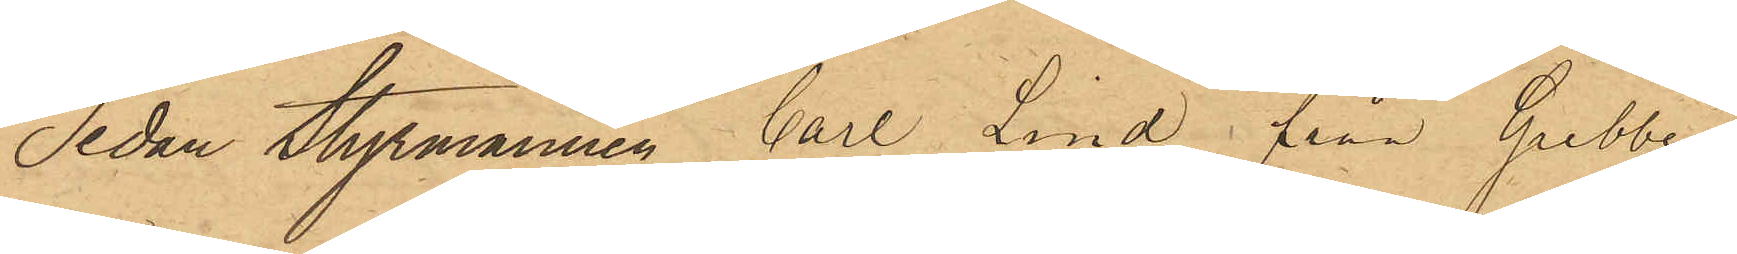Sedan Styrmannen Carl Lind från Grebbe¬
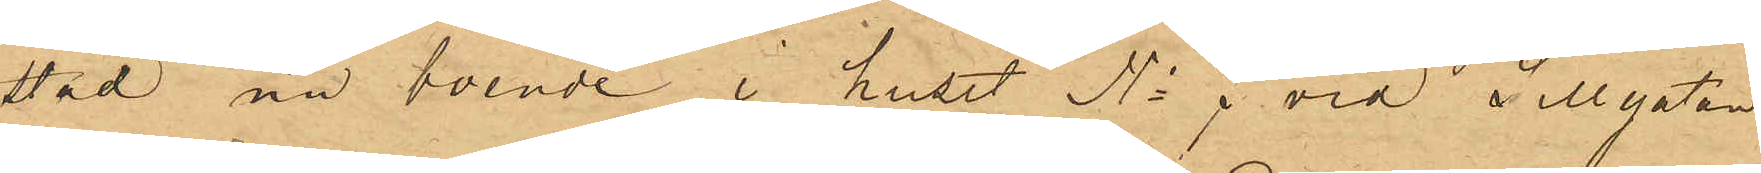stad nu boende i huset No 7 vid Sillgatan
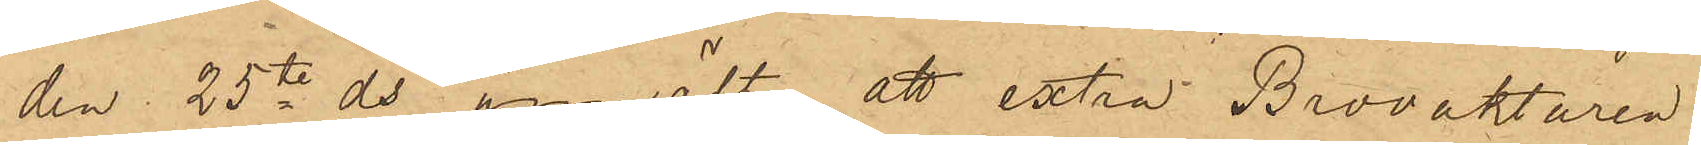den. 25te ds anmält, att extra Brovaktaren
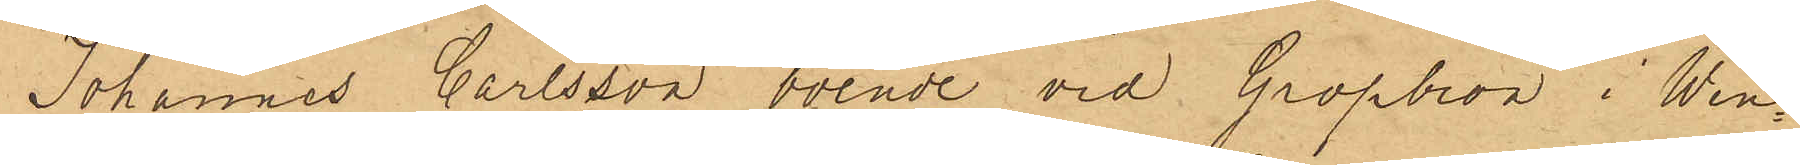Johannes Carlsson, boende vid Gropbron i Wen¬
